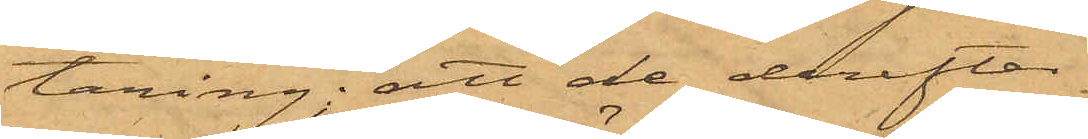täring; att de derefter
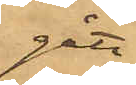gått
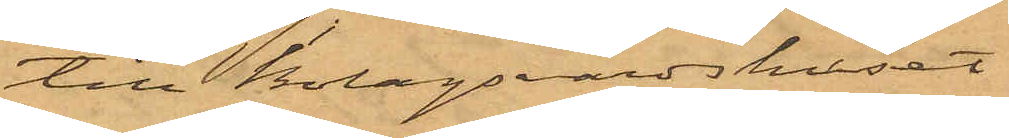till Bolagsvärdshuset
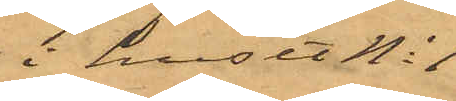i huset No 1
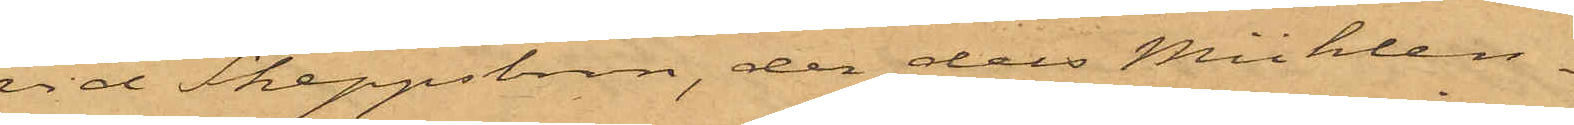vid Skeppsbron, der dels Mühlen¬
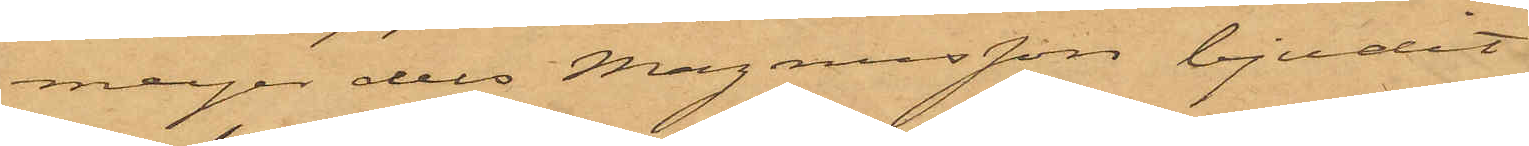meijer dels Magnusson bjudit
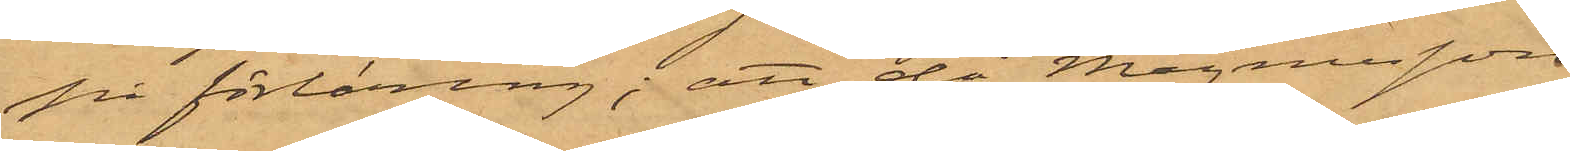på förtäring; att då Magnusson
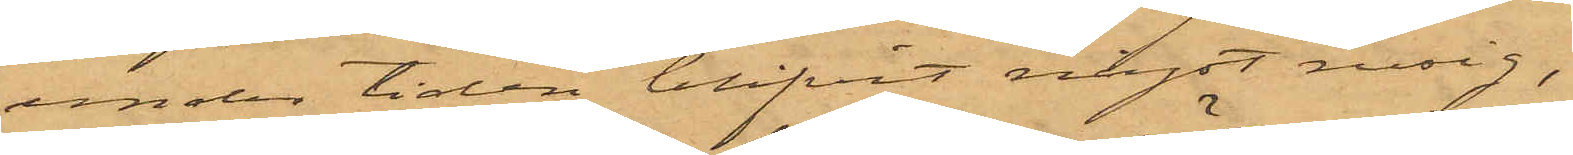under tiden blifvit något rusig,
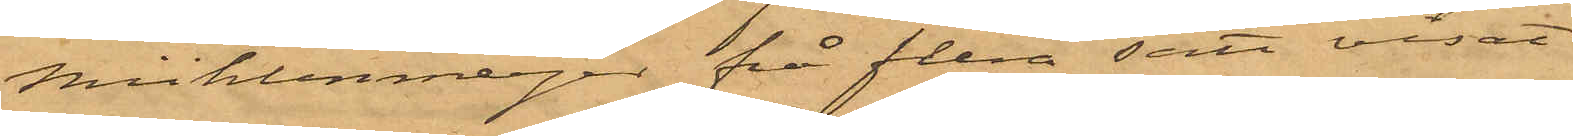Mühlenmeijer på flera sätt visat
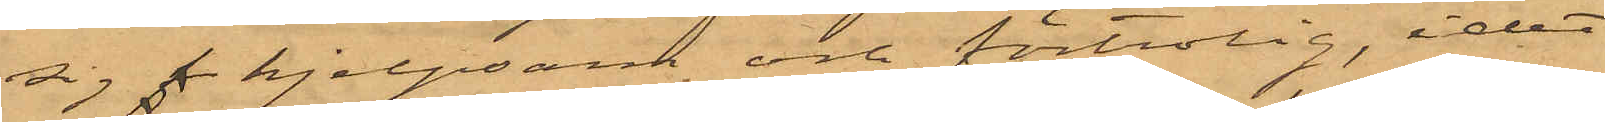sig  hjelpsarn och förtrolig, idet
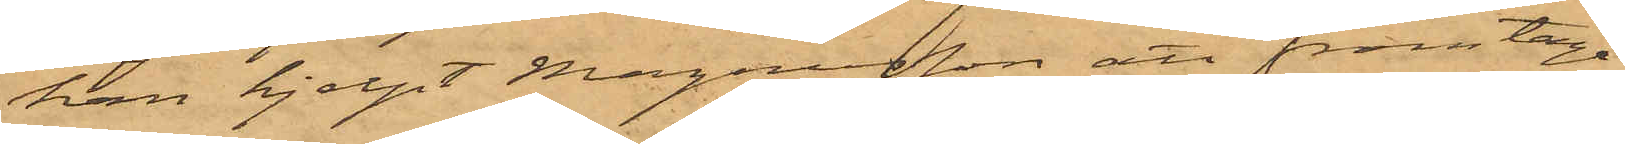han hjelpt Magnusson att framtaga
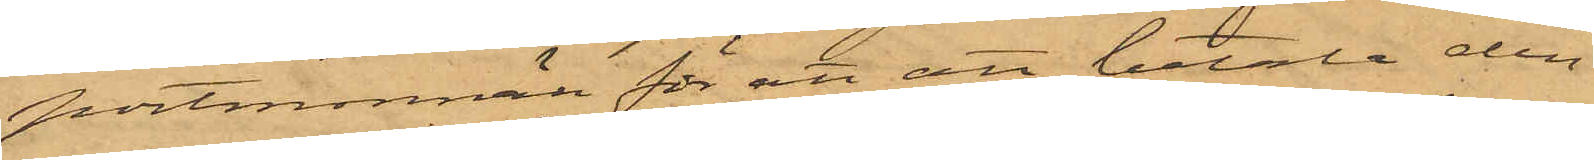portmonnän för att att betala den
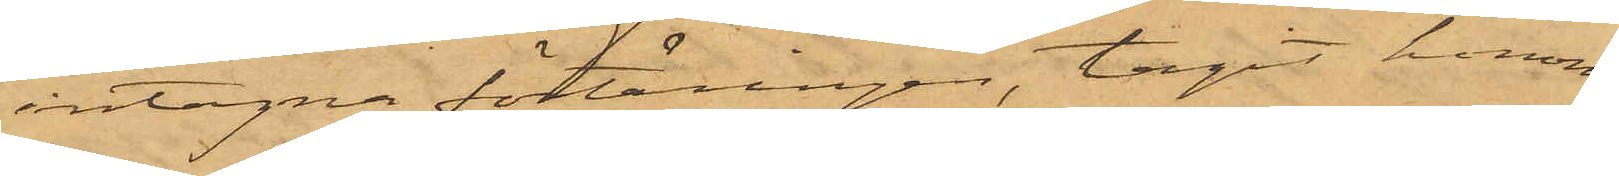intagna förtäringen, tagit honom
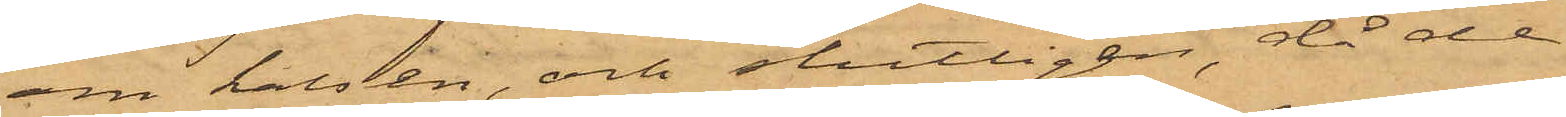om halsen, och slutligen, då de
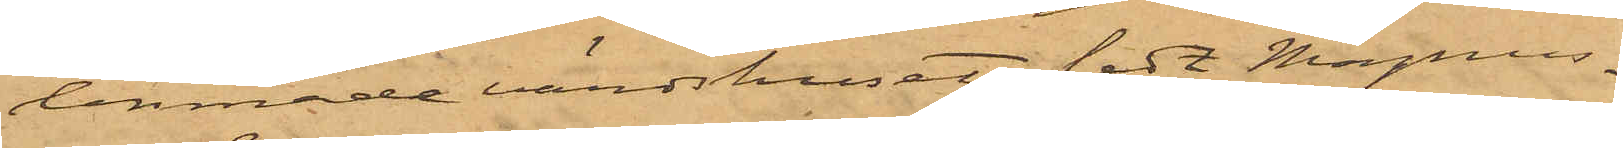lemnade värdshuset, ledt Magnus¬
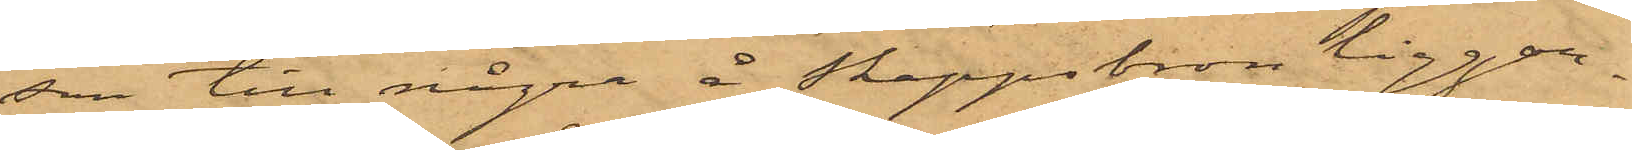son till några å Skeppsbron liggan¬
